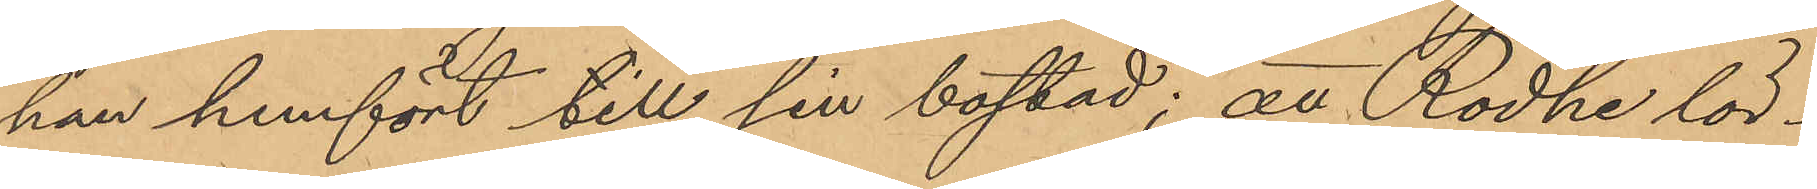han hemfört till sin bostad; att Rodhe lör¬
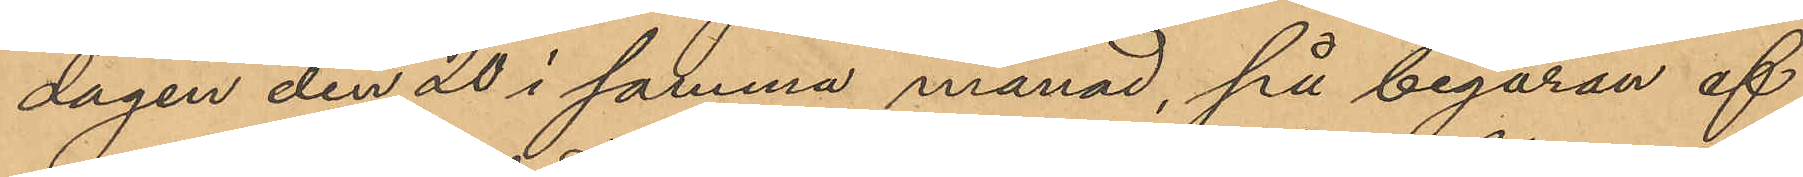dagen den 20 i samma månad, på begäran af
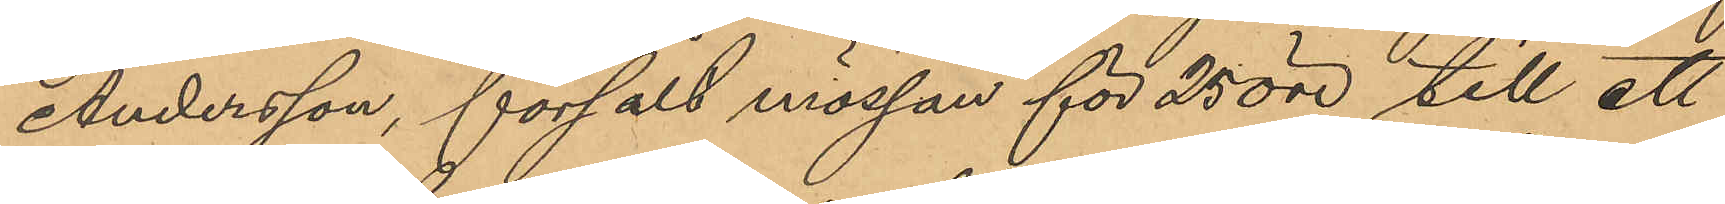Andersson, försålt mössan för 25 öre till ett
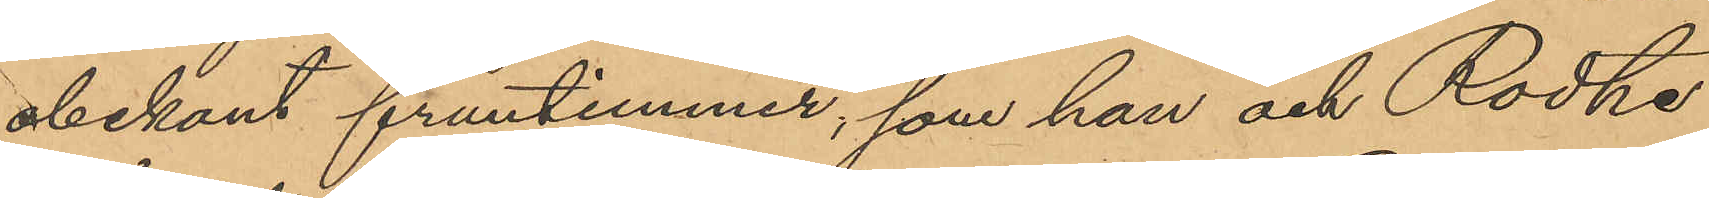obekant fruntimmer, som han och Rodhe
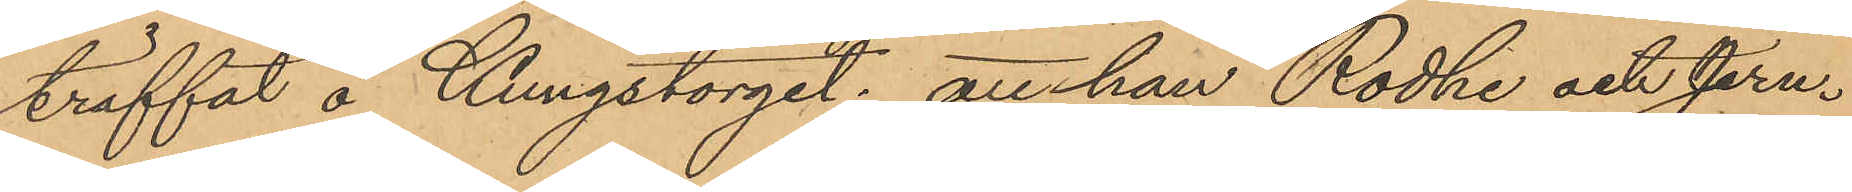träffat å Kungstorget; att han, Rodhe och Jern¬
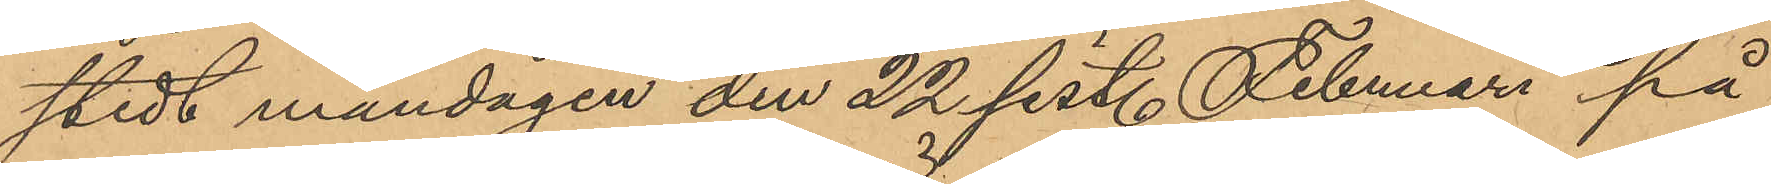stedt måndagen den 22 sist. Februari på
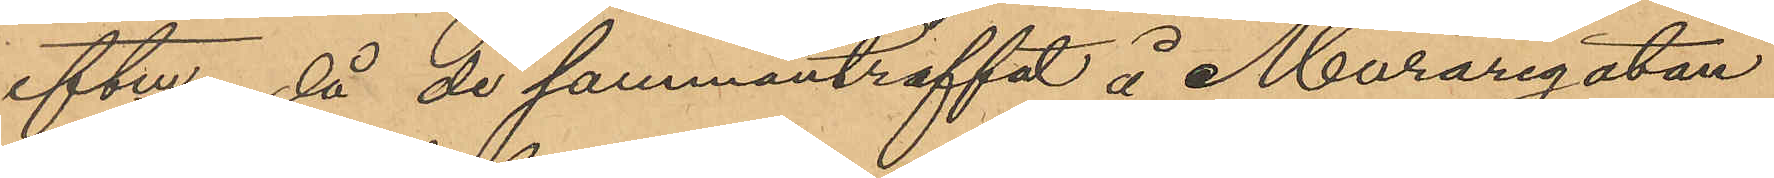eftm, då de sammanträffat å Muraregatan
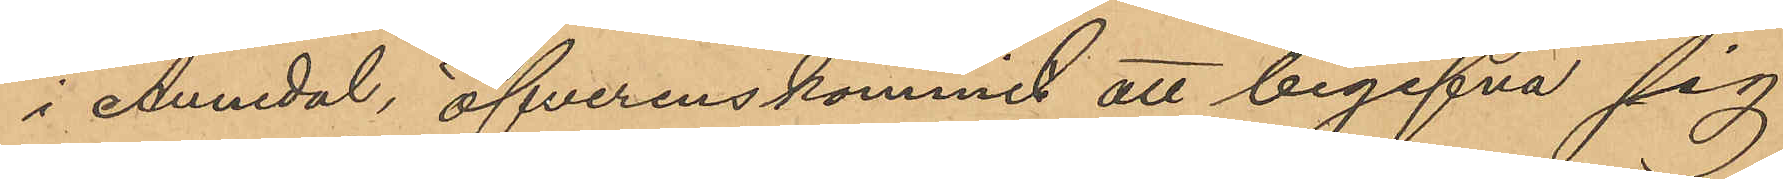i Annedal, öfverenskommit att begifva sig
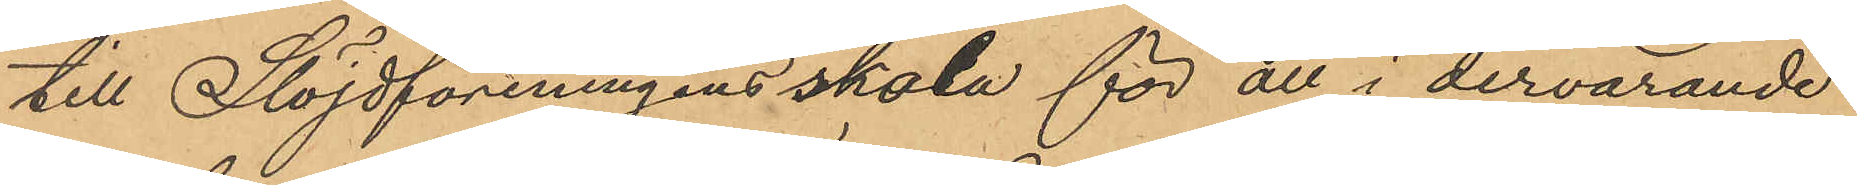till Slöjdföreningens skola för att i dervarande
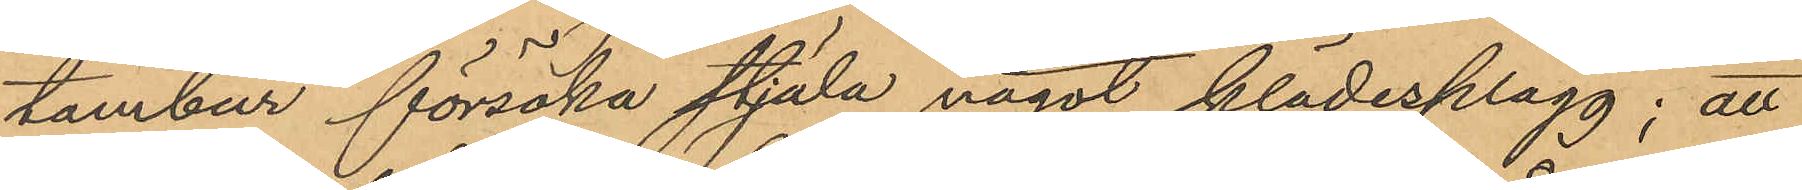tambur försöka stjäla något klädesplagg; att
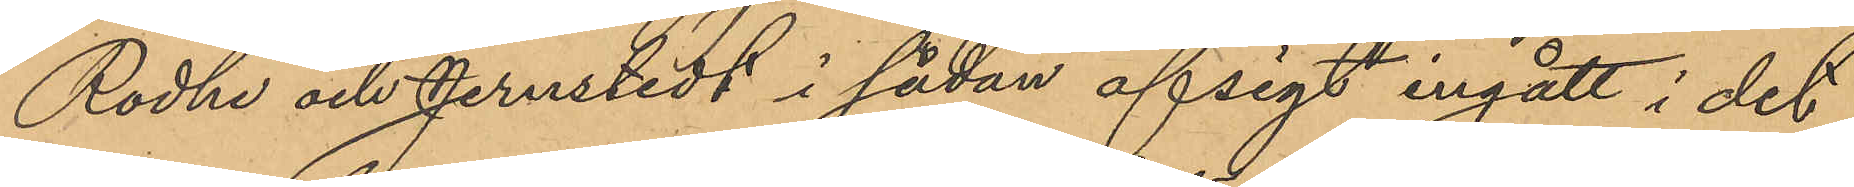Rodhe och Jernstedt i sådan afsigt ingått i det
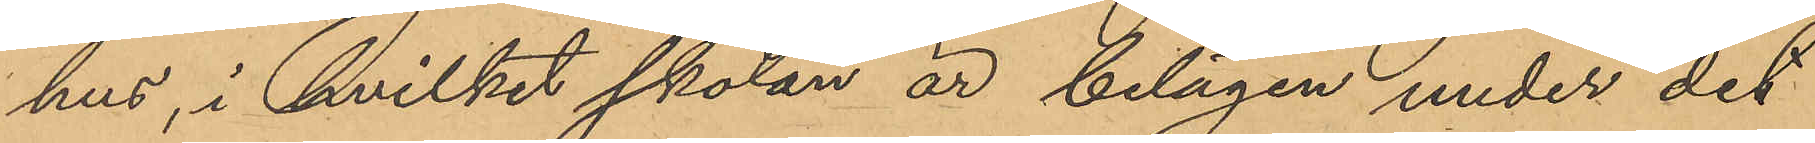hus, i hvilket skolan är belägen under det
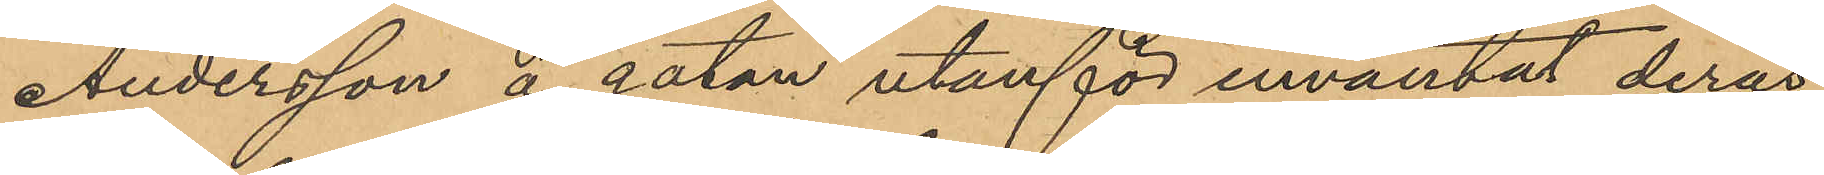Andersson å gatan utanför inväntat deras
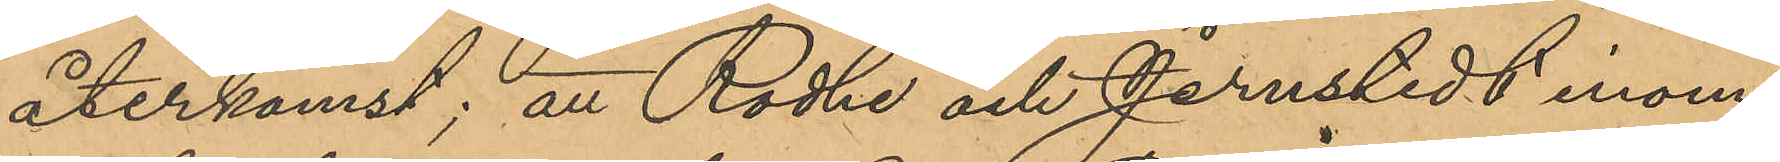återkomst; att Rodhe och Jernstedt inom
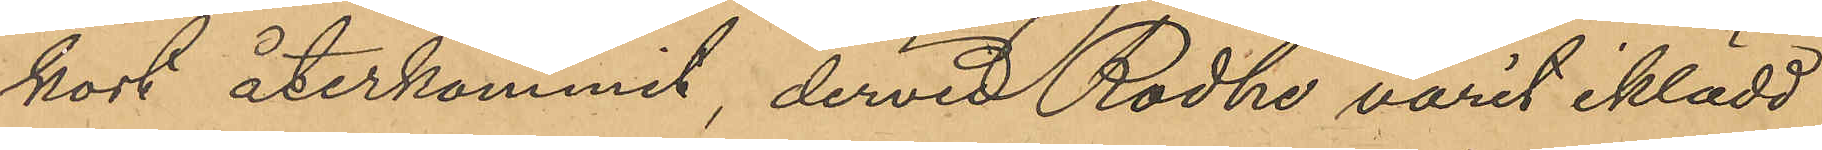kort återkommit, dervid Rodhe varit iklädd
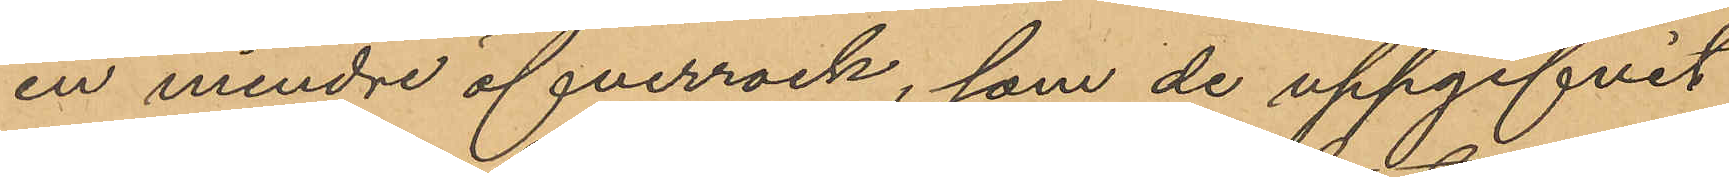en mindre öfverrock, som de uppgifvit
